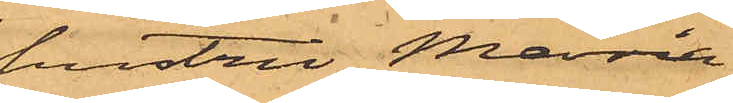hustru Maria
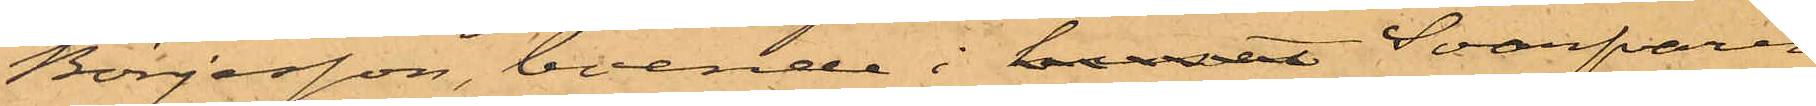Börjesson, boende i huset Svarfaren
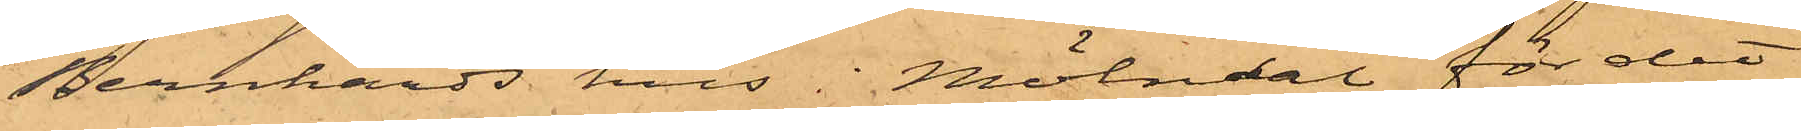Bernhards hus i Mölndal, för det
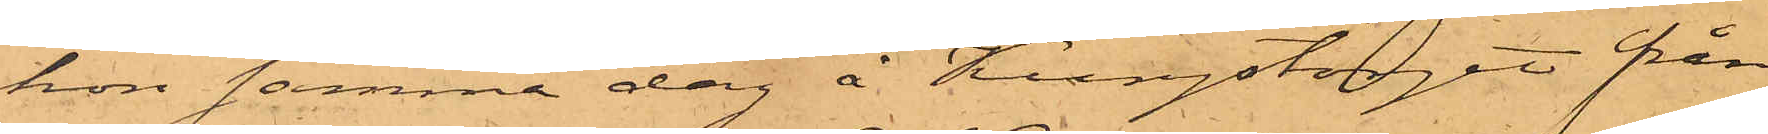hon samma dag å Kungstorget från
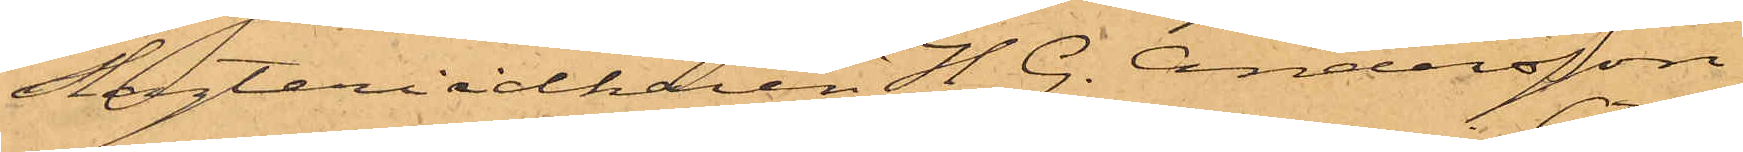Slagteriidkaren H. G. Andersson
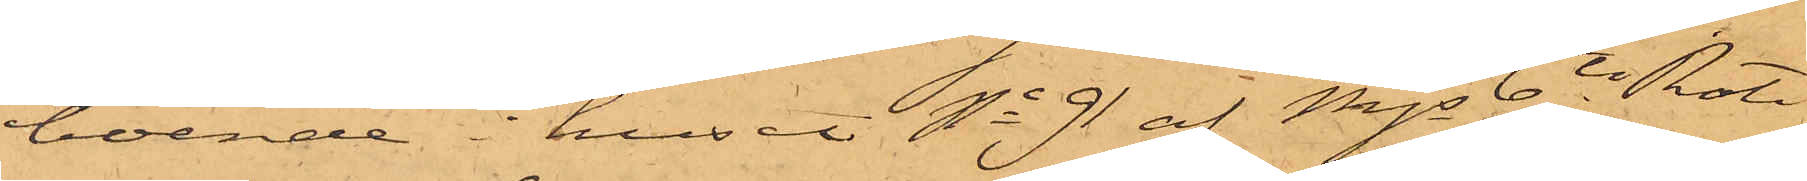boende i huset No 91 af Mjs 6te Rote
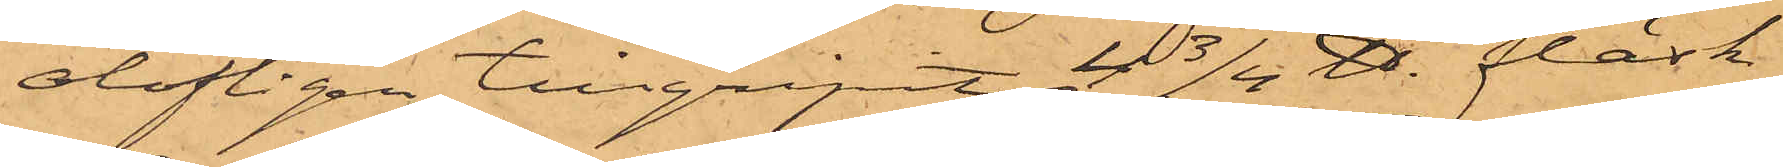olofligen tillgripit 4 3/4 ℔. fläsk,
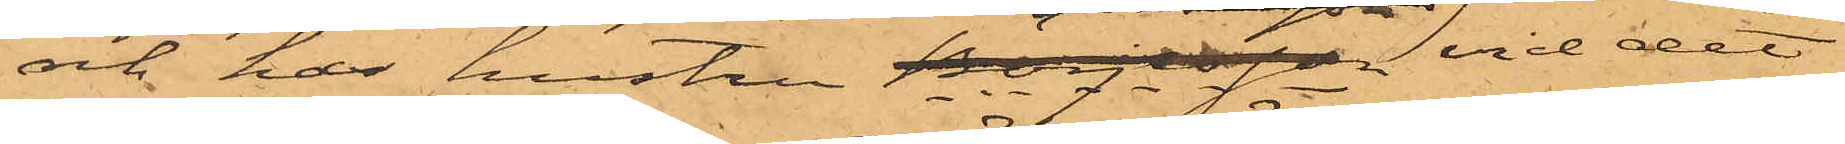och har hustru Börjesson vid det
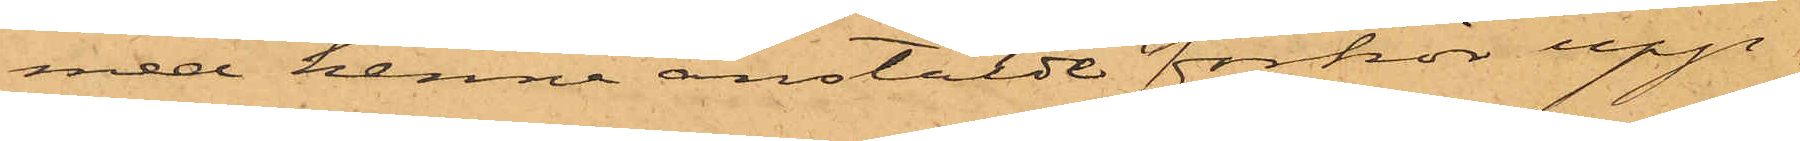med henne anstälde förhör upp¬
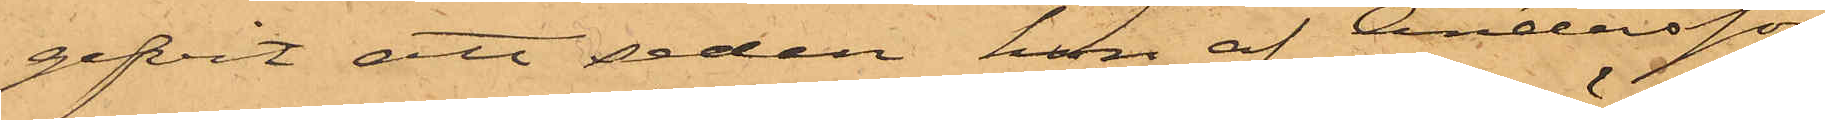gifvit att sedan hon af Andersson,
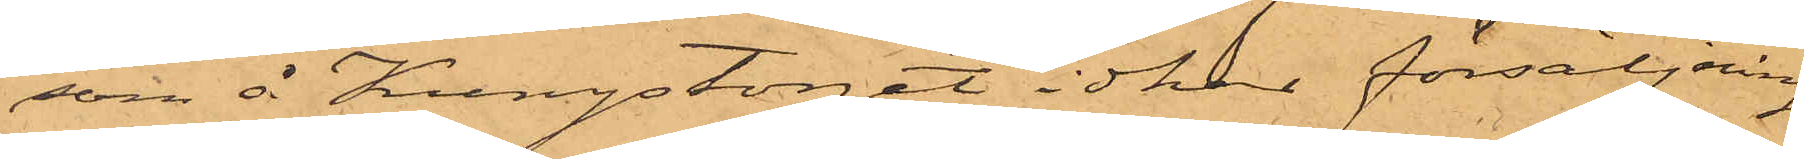som å Kungstorget idkar försäljning
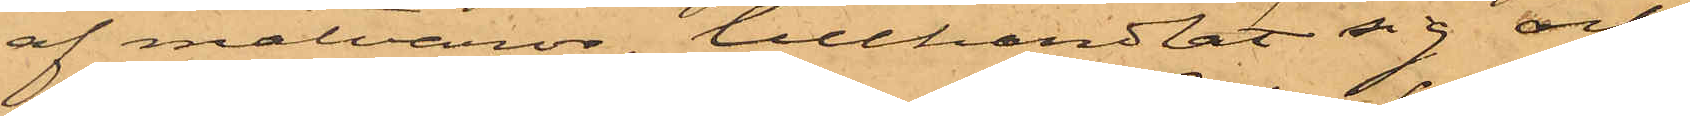af matvaror, tillhandlat sig och
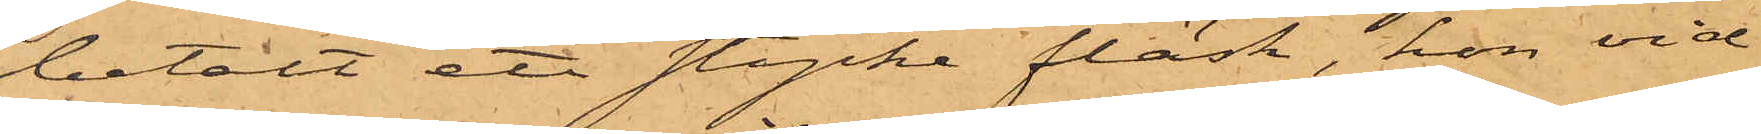betalt ett stycke fläsk, hon vid
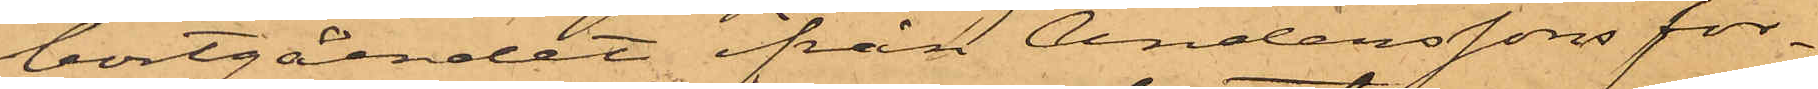bortgåendet från Anderssons för¬
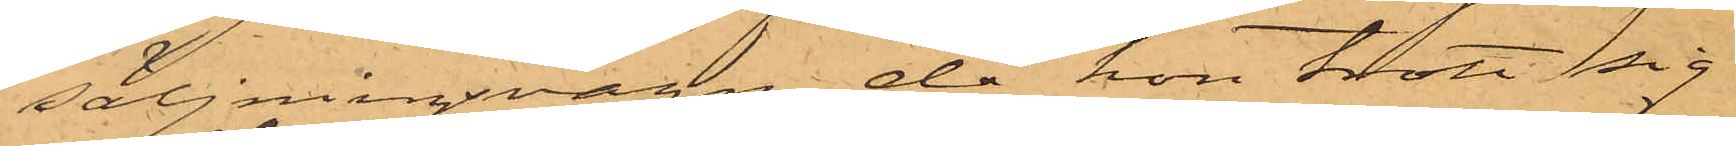säljningsvagn, då hon trott sig
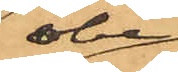obe¬
